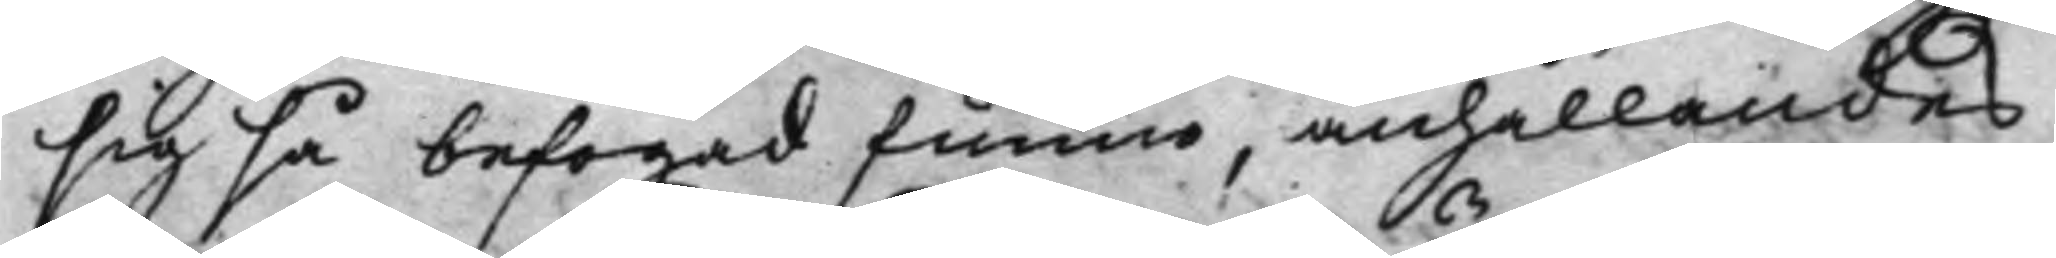sig så befogad funno, anhållandes
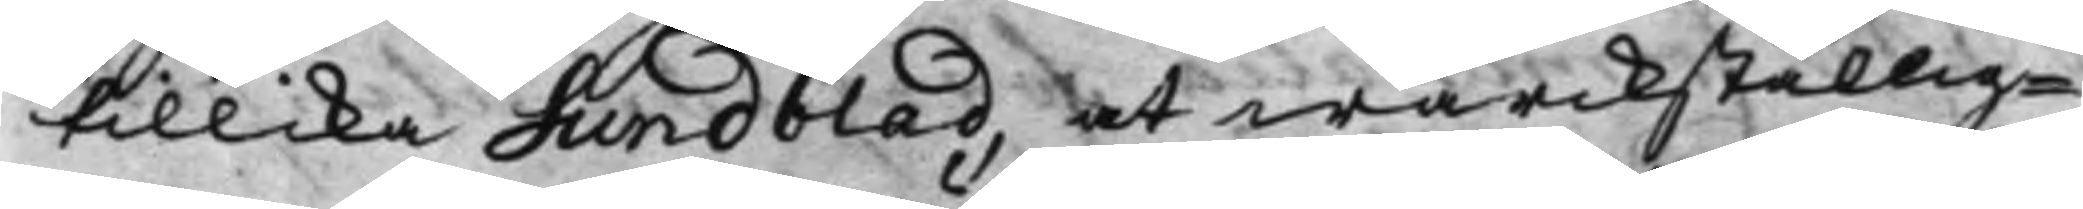tillika Sundblad, at wärckställig¬
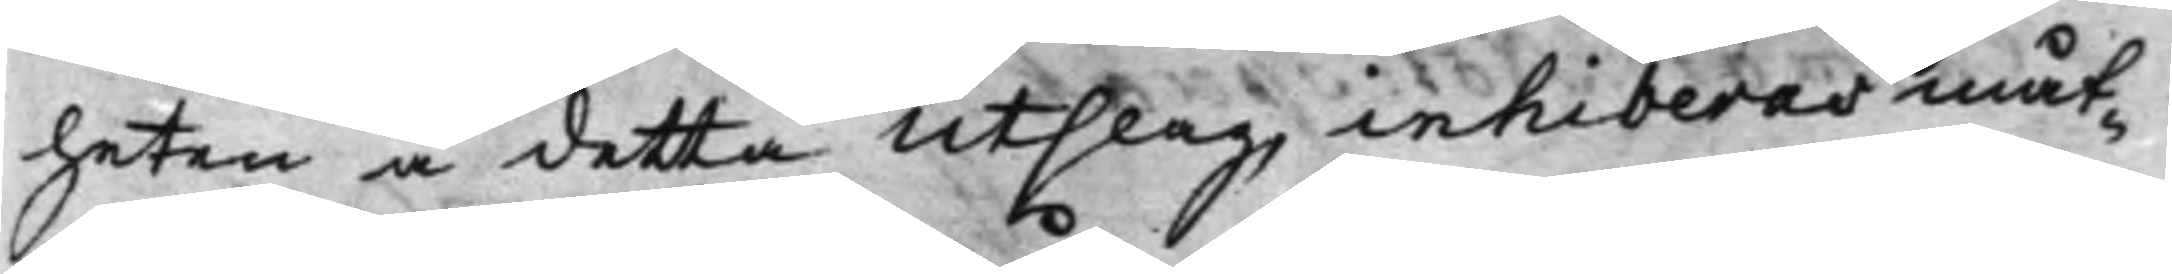heten å detta Utslag inhiberas måt¬
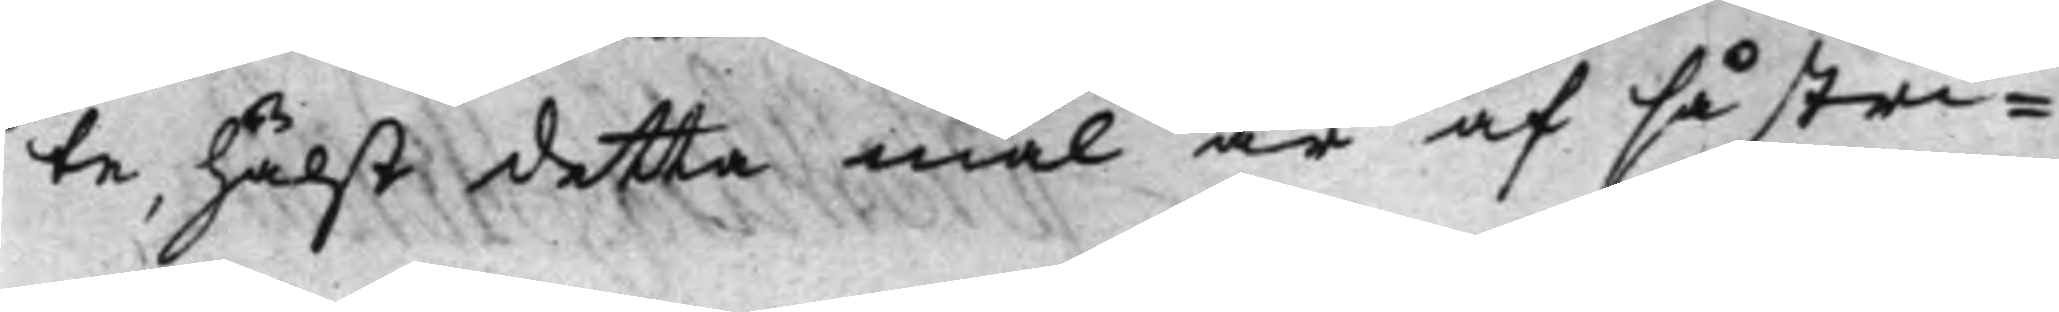te, hälst detta mål är af så stri¬
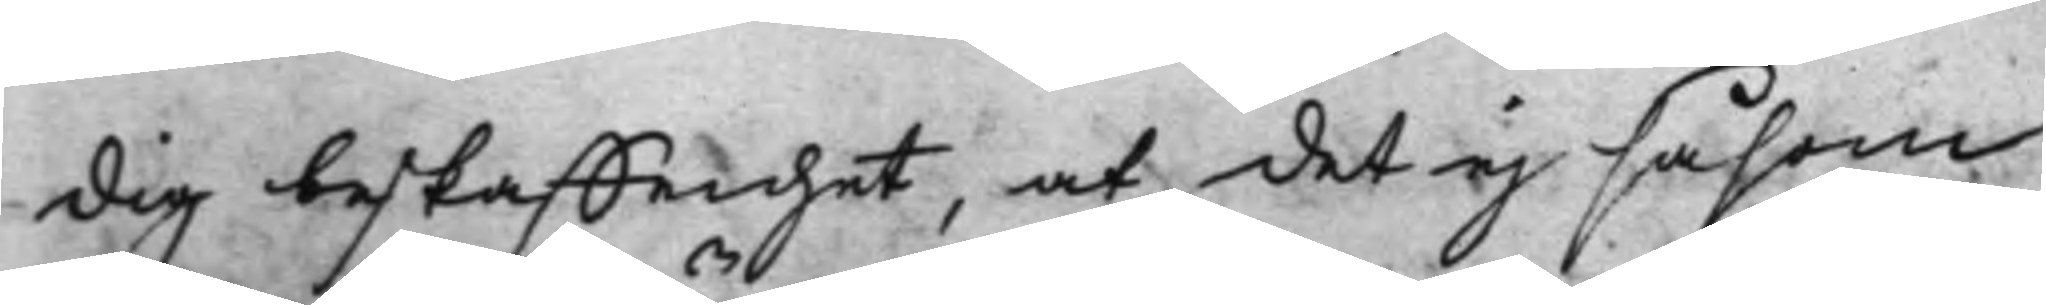dig beskaffenhet, at det ej såsom
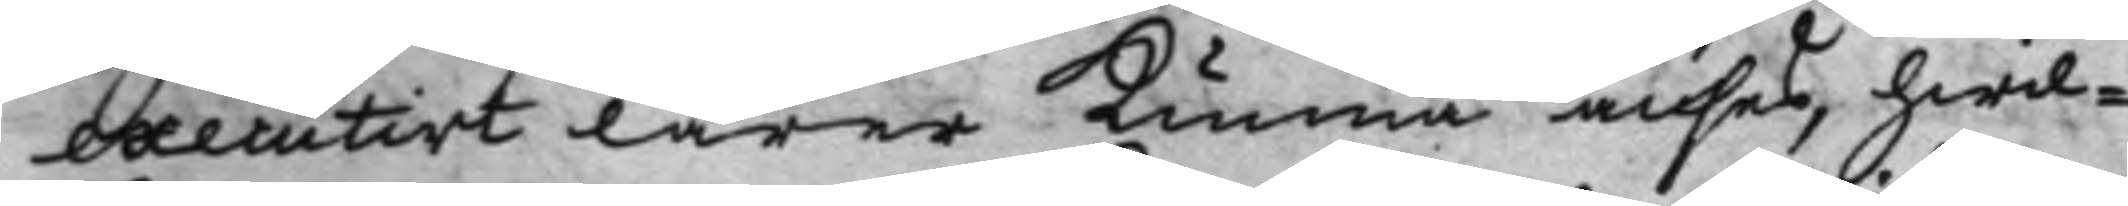executivt lärer kunna anses, hwil¬
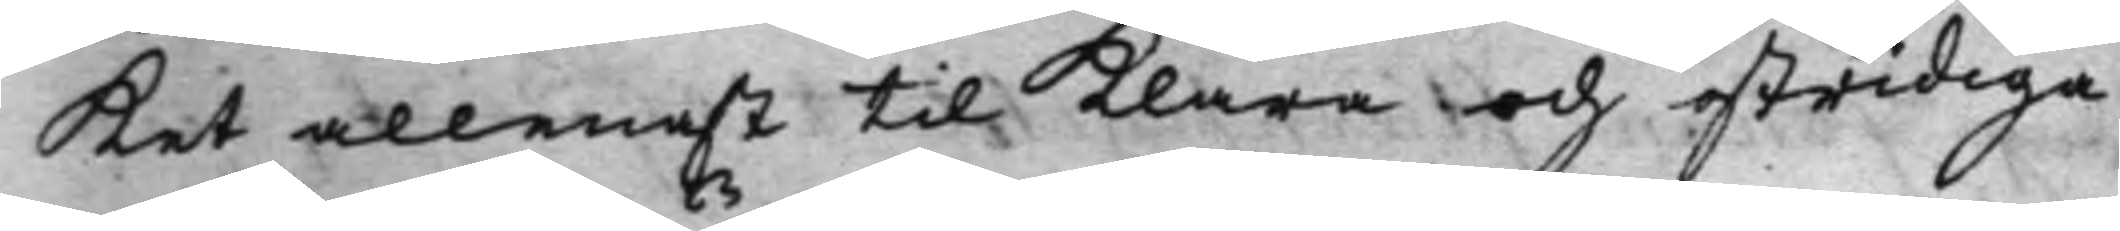ket allenast til klara och ostridiga
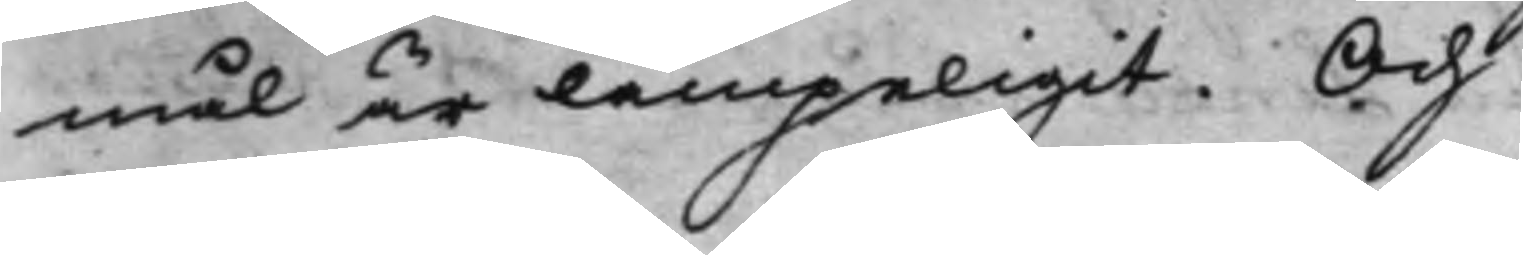mål är lämpeligit. Och
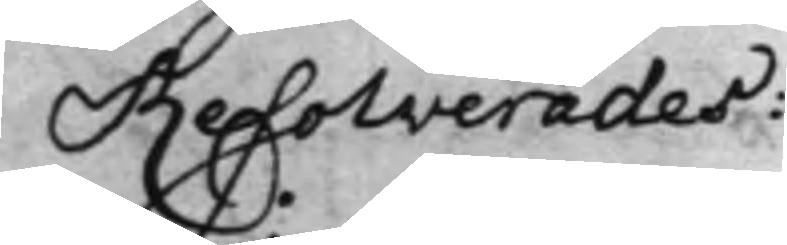Resolverades:
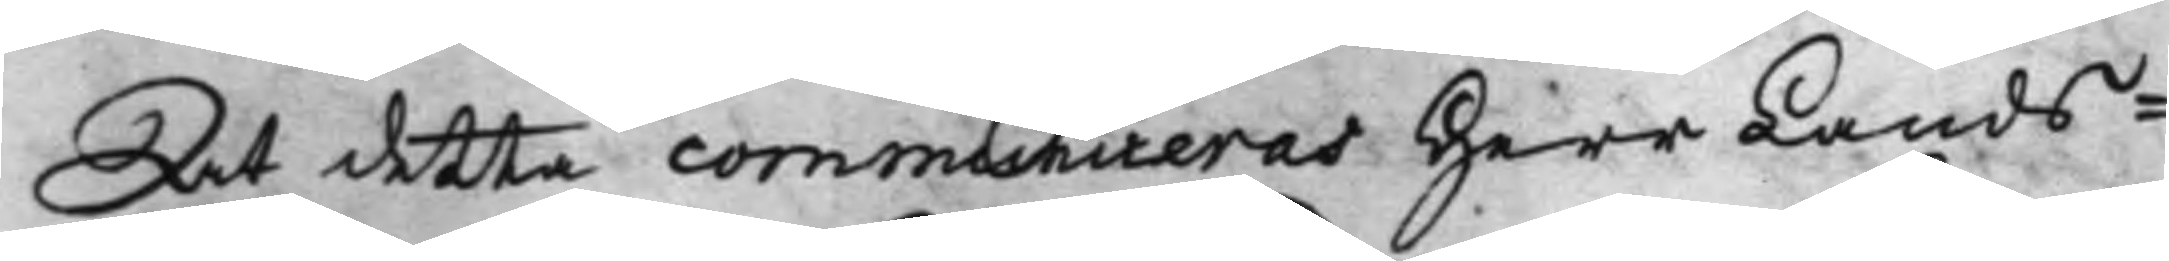At detta communiceras Herr Lands¬
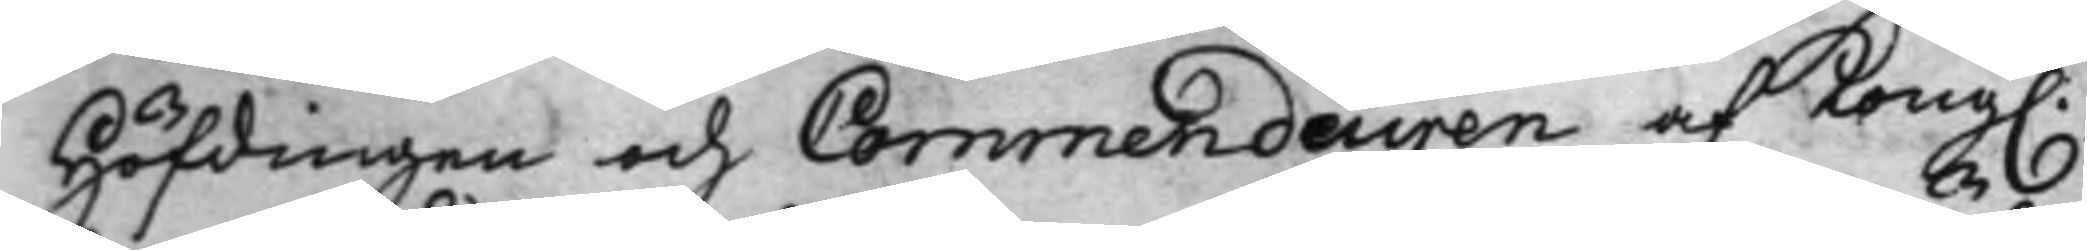Höfdingen och Commendeuren af Kong.
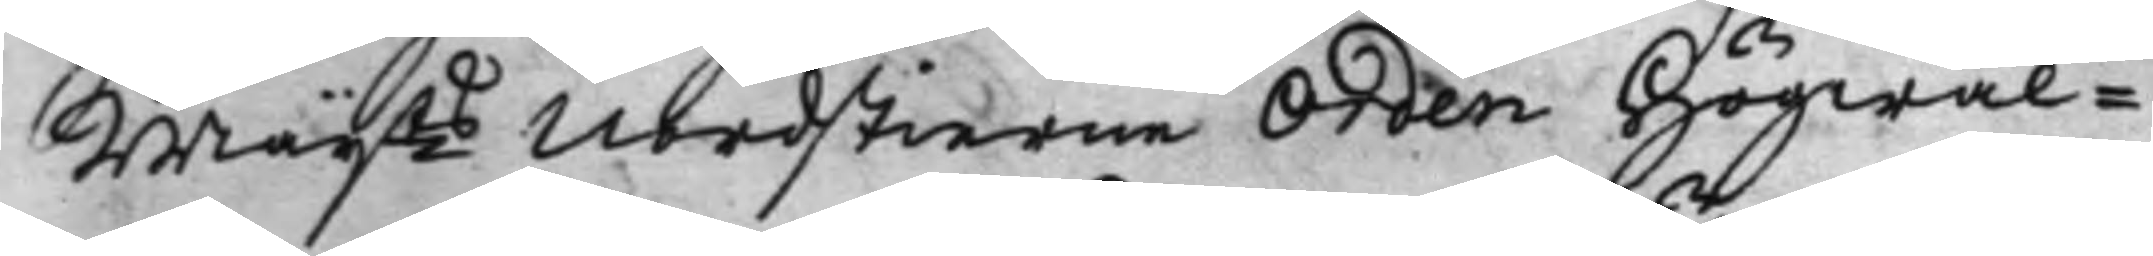Maijts Nordstierne Orden Högwäl¬
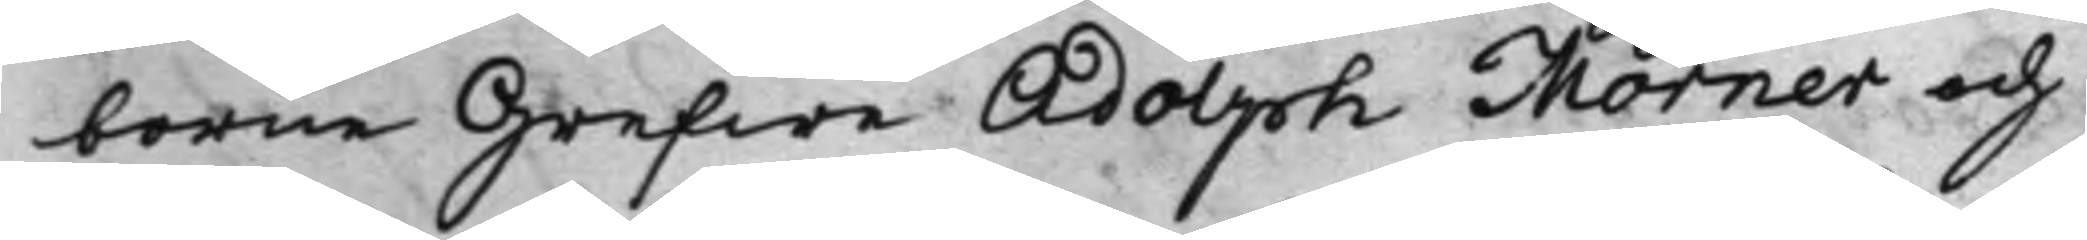borne Grefwe Adolph Mörner och
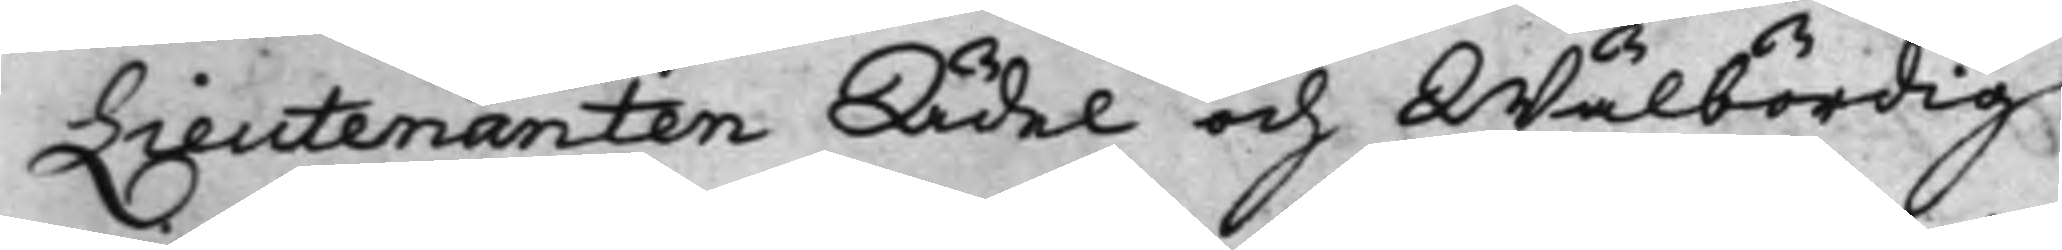Lieutenanten Ädel och Wälbördig
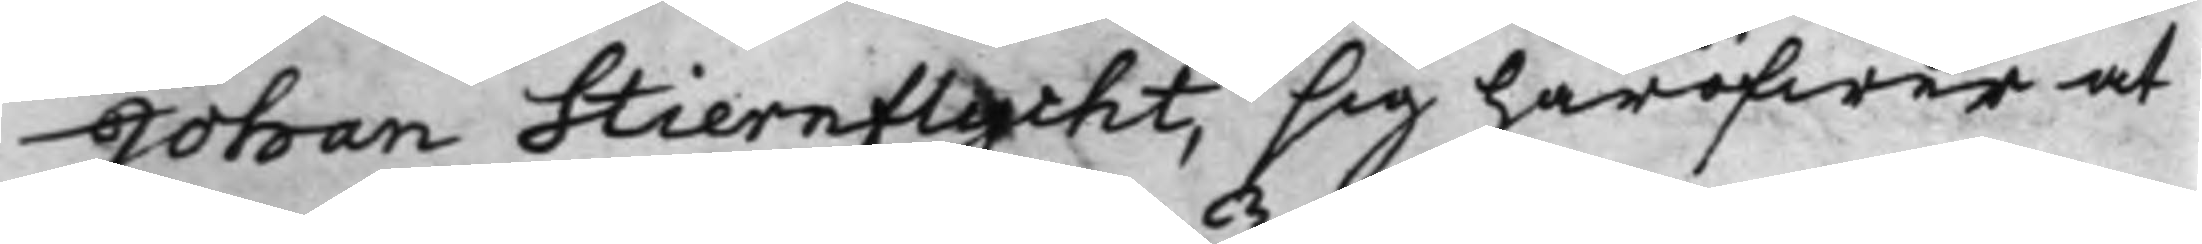Johan Stiernflycht, sig häröfwer at
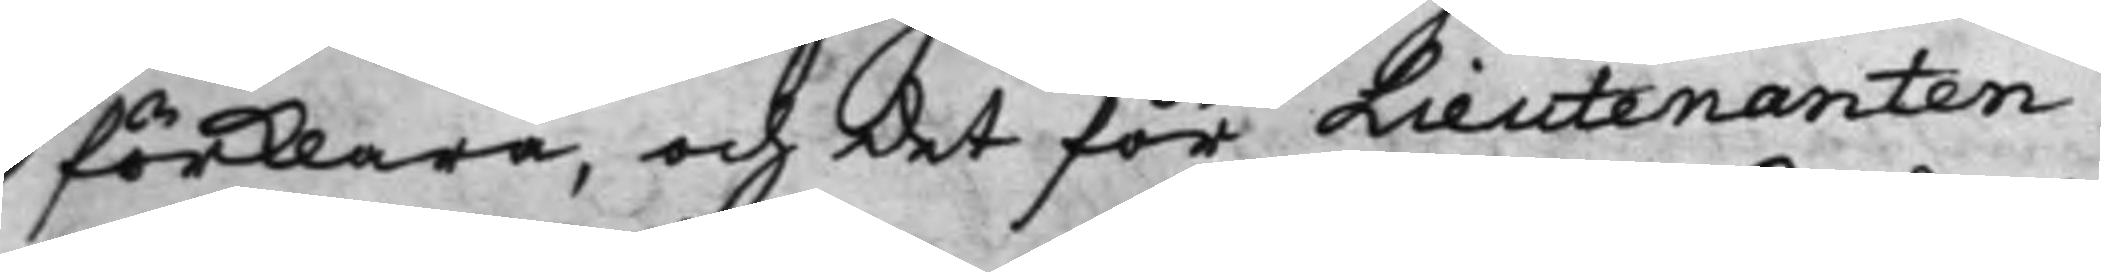förklara, och det för Lieutenanten
